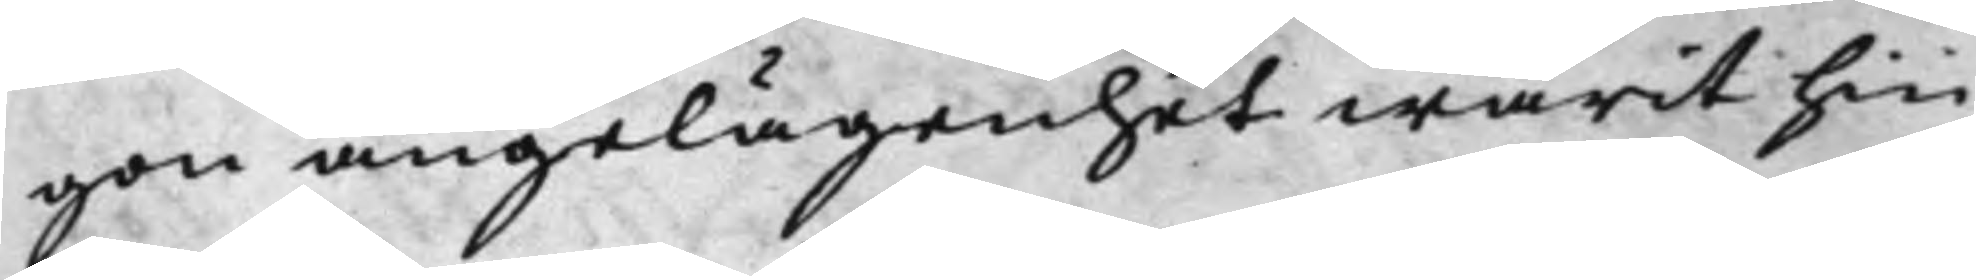gon angelägenhet warit hin¬
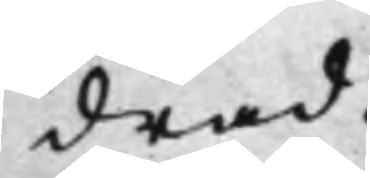drad.
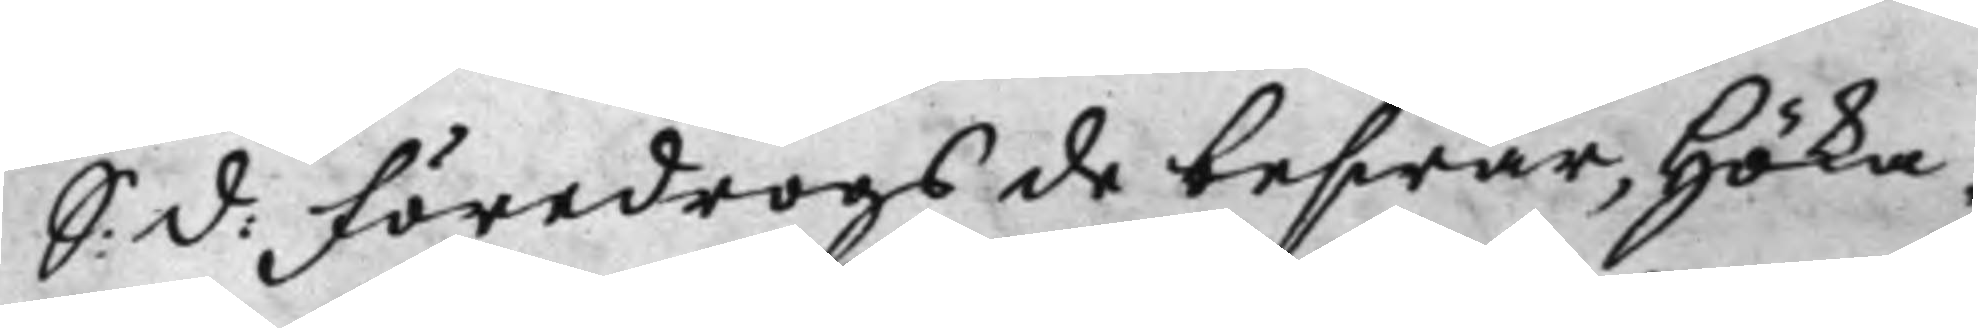S: d: Föredrogs de beswär, Höka¬
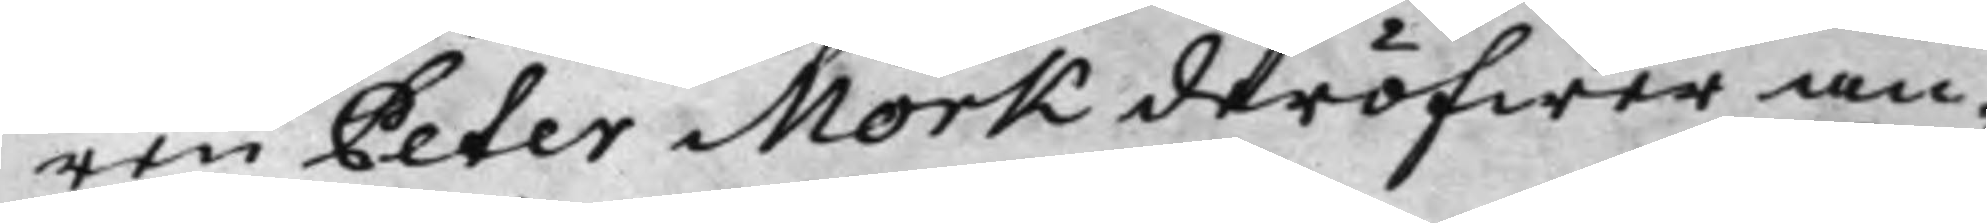ren Peter Mörk deröfwer an¬
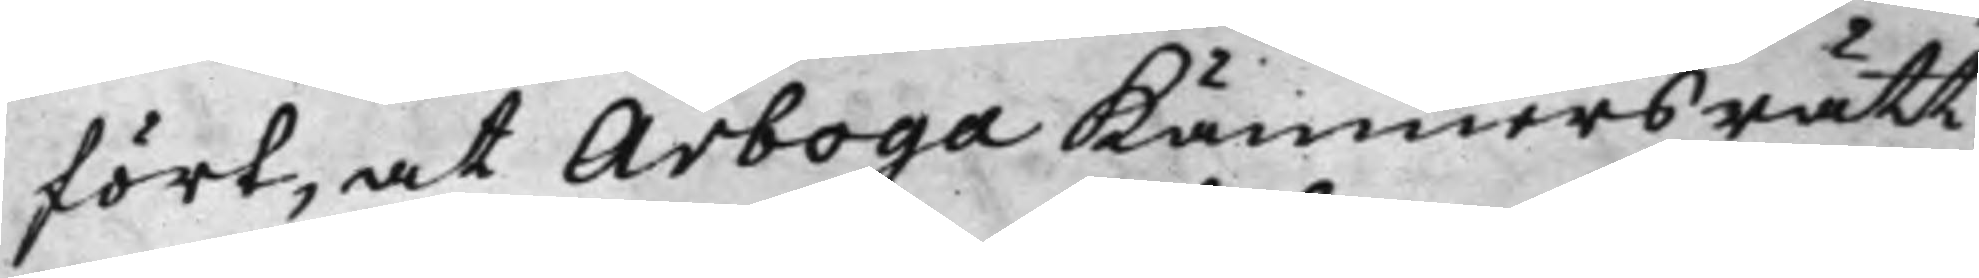fört, at Arboga Kämnersrätt
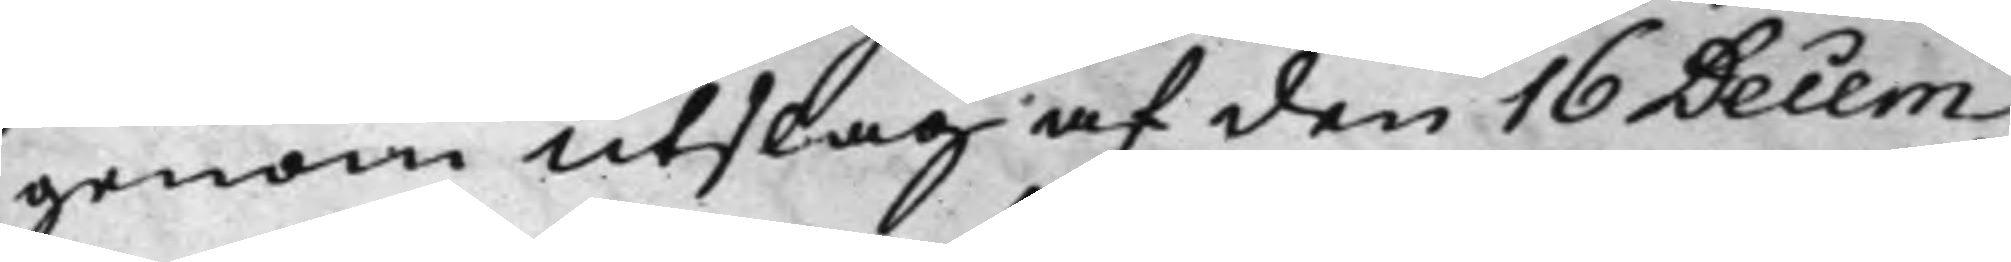genom Utslag af den 16 Decem¬
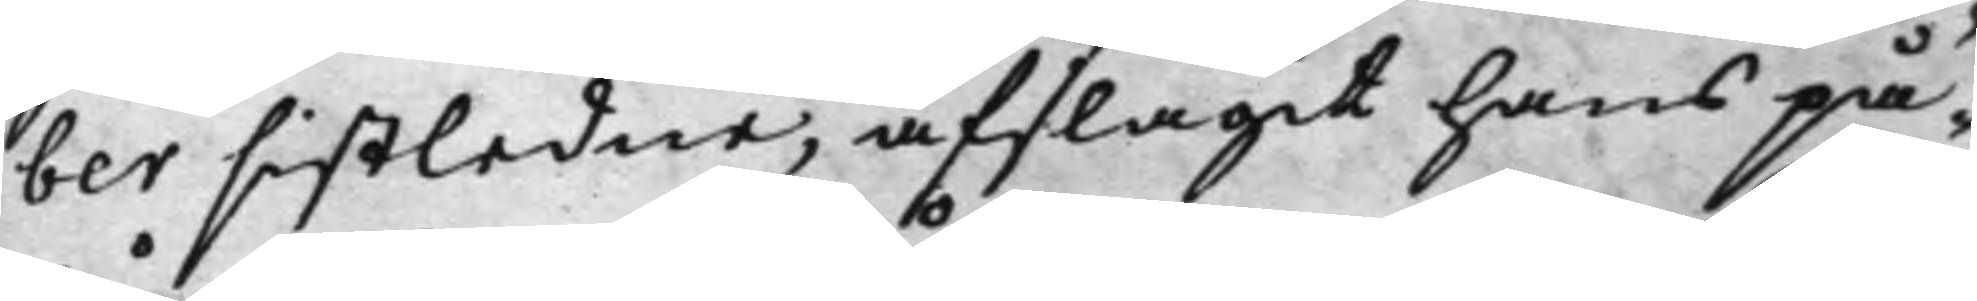ber sistledne, afslagit hans på¬
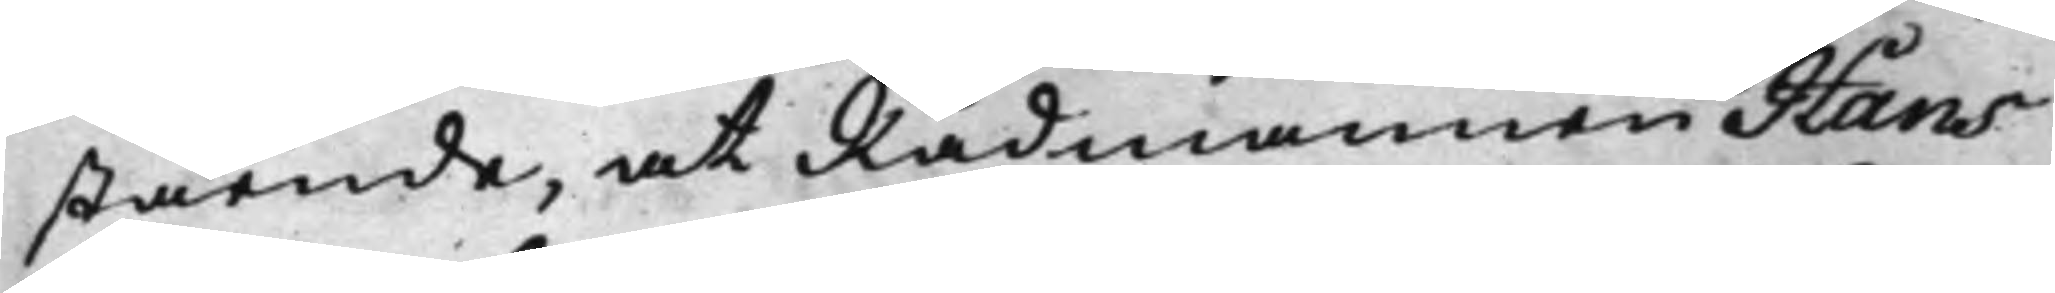stående, at Rådmannen Hans
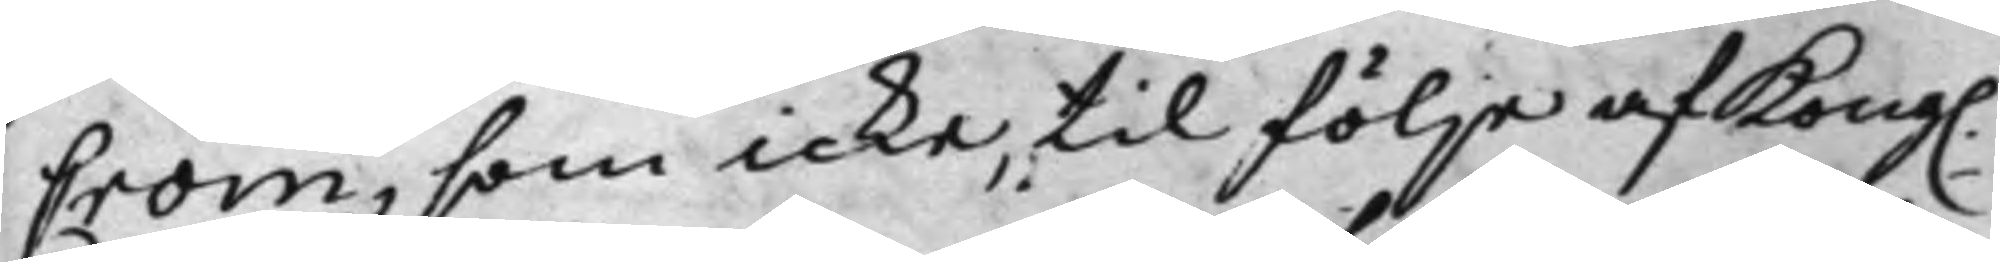Crom, som icke, til följe af Kong.
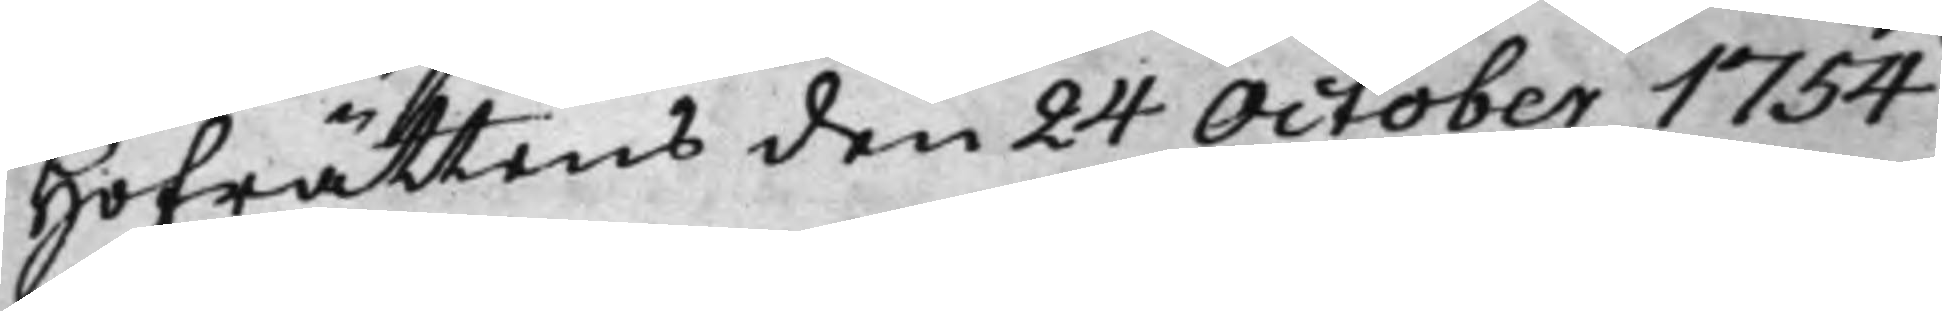Hofrättens den 24 October 1754
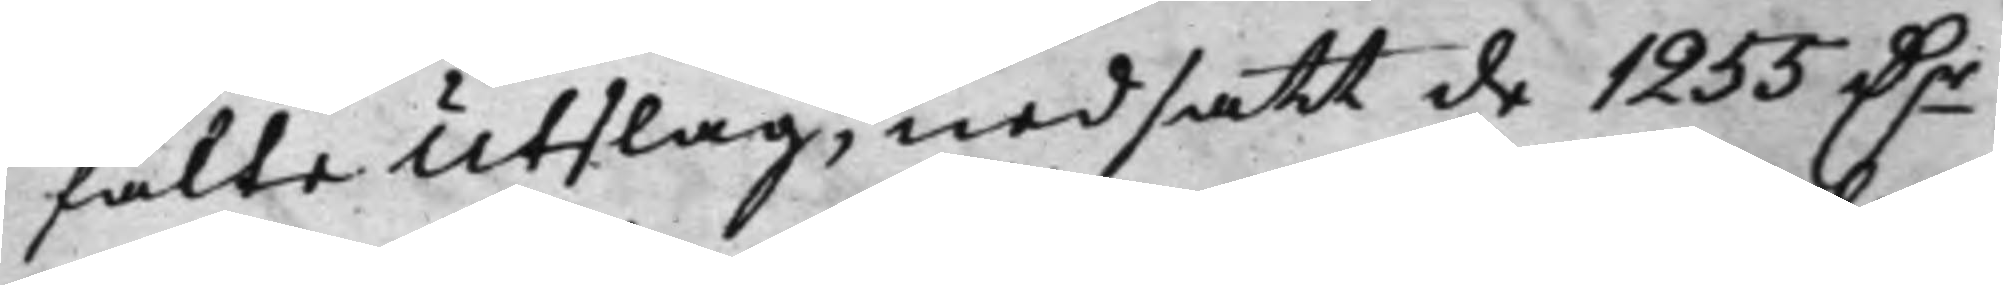fälte Utslag, nedsatt de 1255 Dr
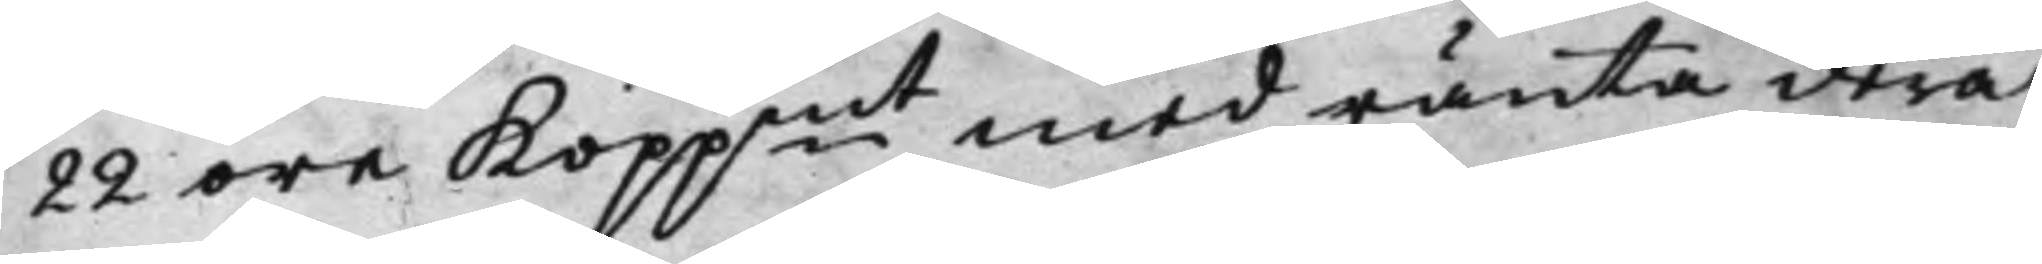22 öre Koppmt med ränta derå
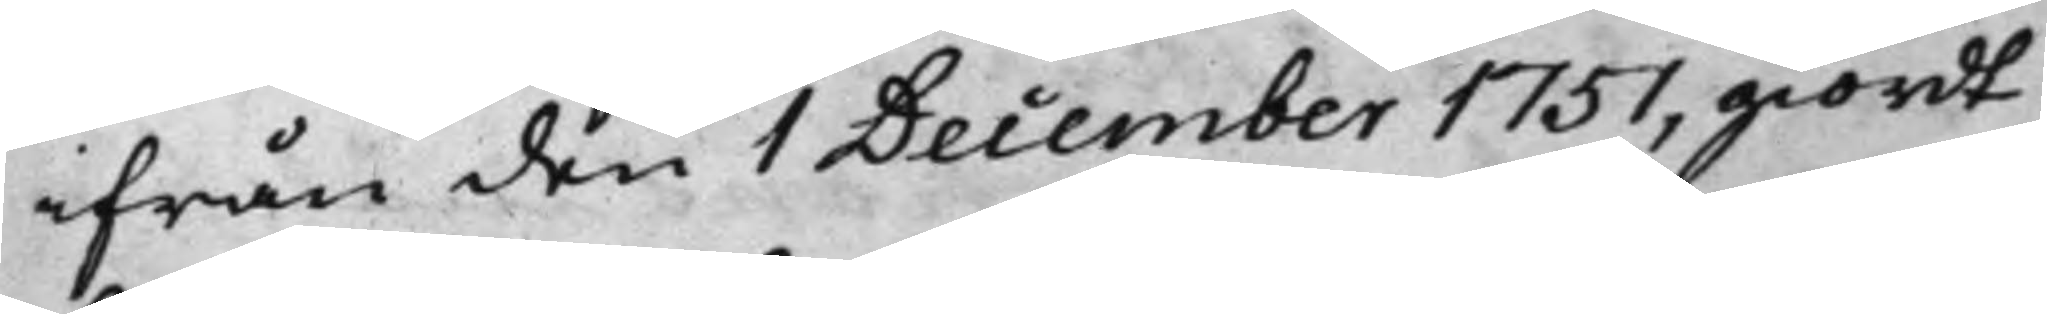ifrån den 1 December 1751, giordt
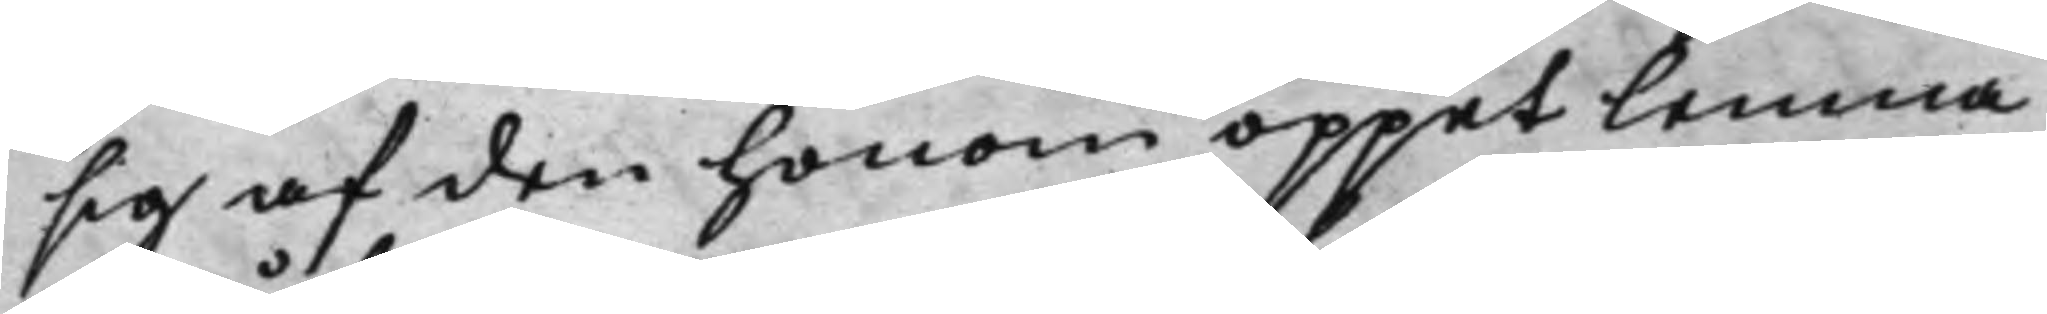sig af den honom öppet lemna¬
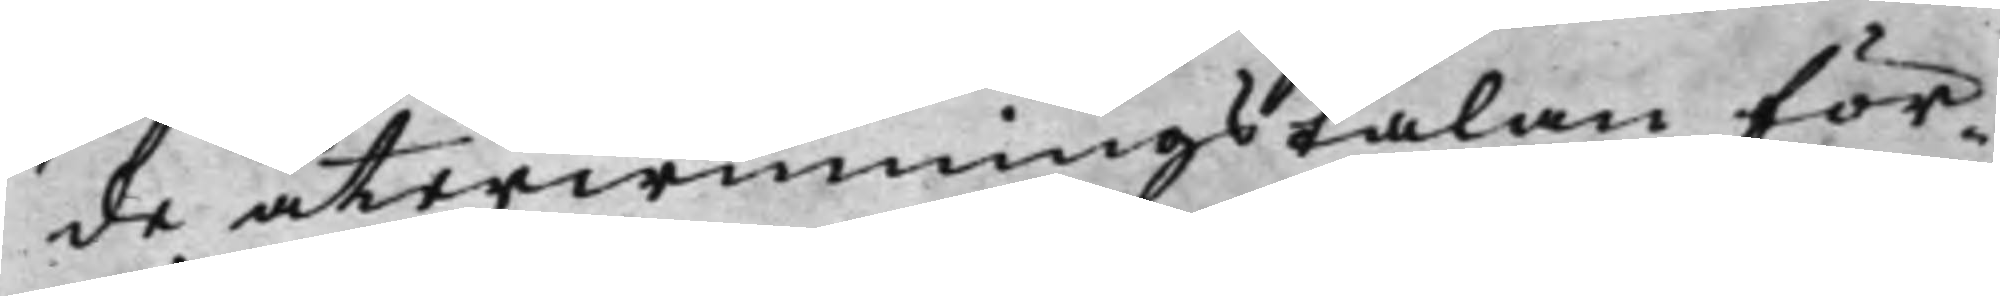de återwinningstalan för¬
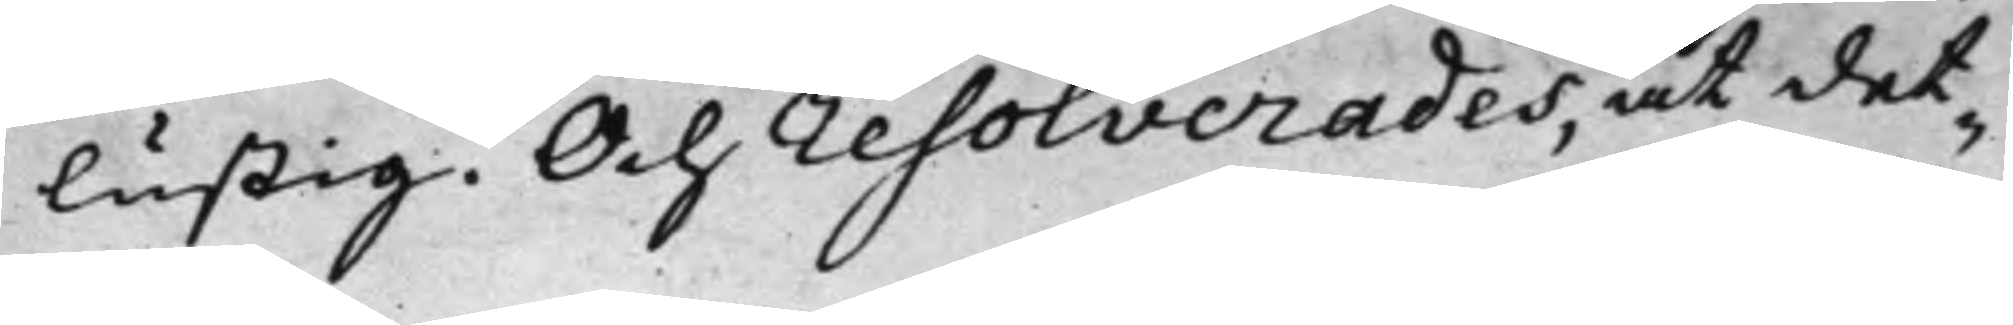lustig. Och resolverades, at det¬
